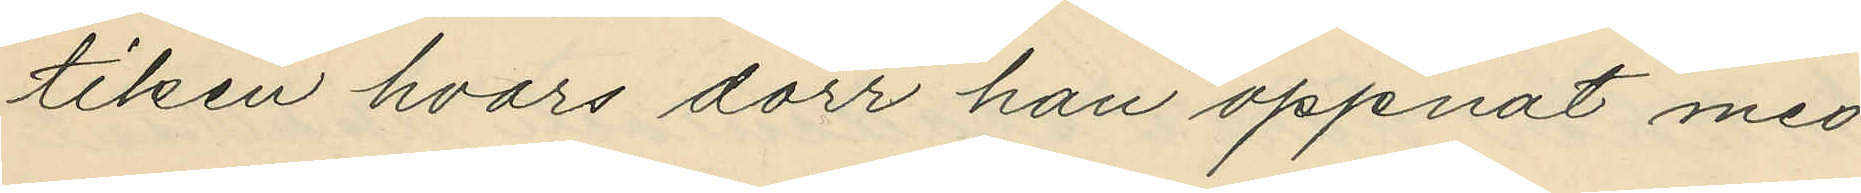tiken hvars dörr han öppnat med
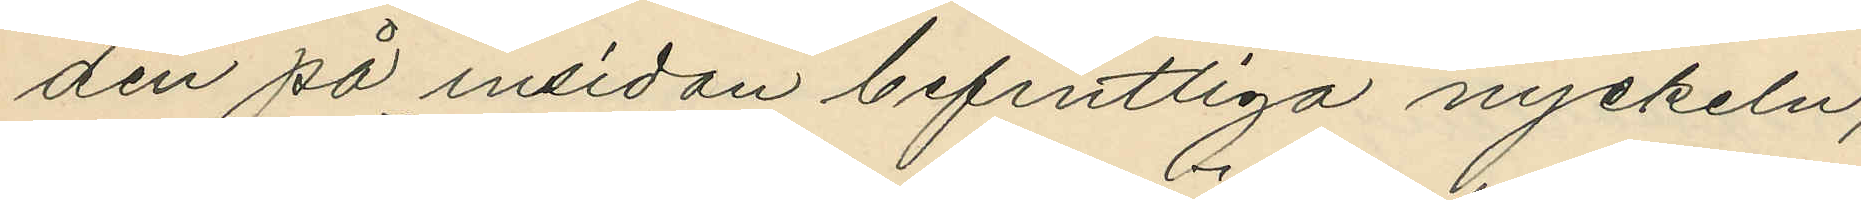den på insidan befintliga nyckeln;
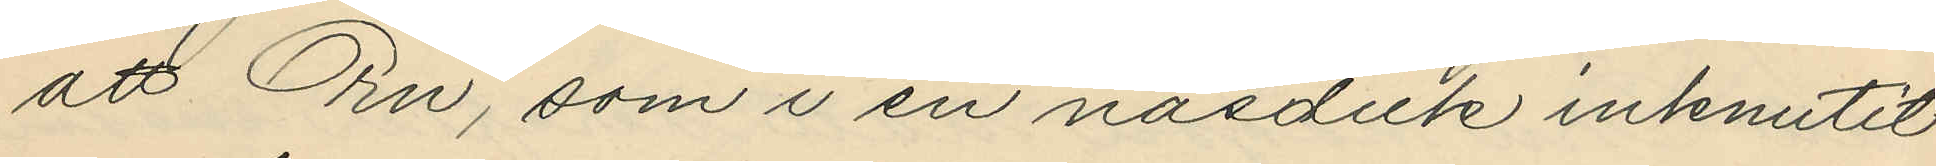att Örn, som i en näsduk inknutit
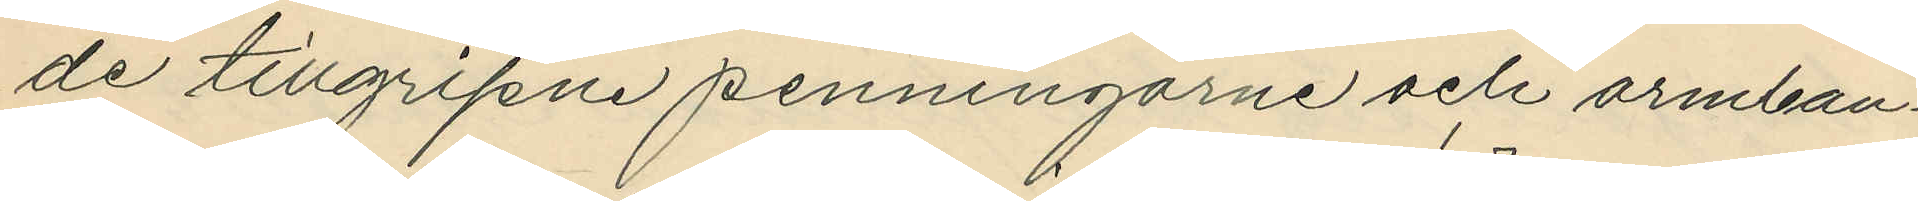de tillgripne penningarne och armban¬
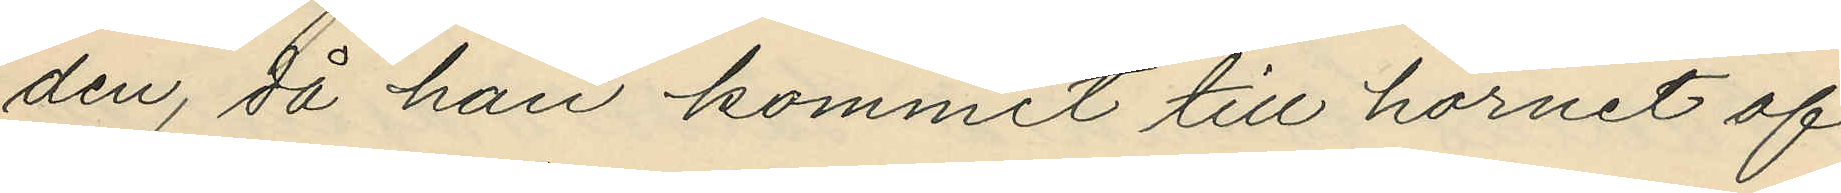den, då han kommit till hörnet af
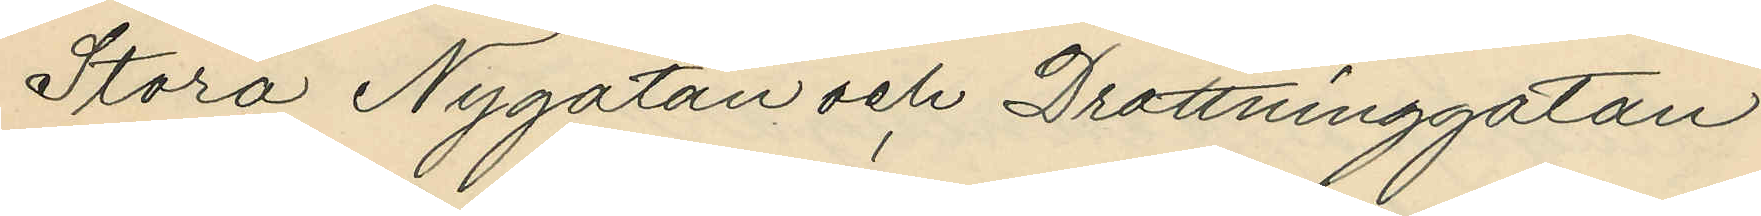Stora Nygatan och Drottninggatan
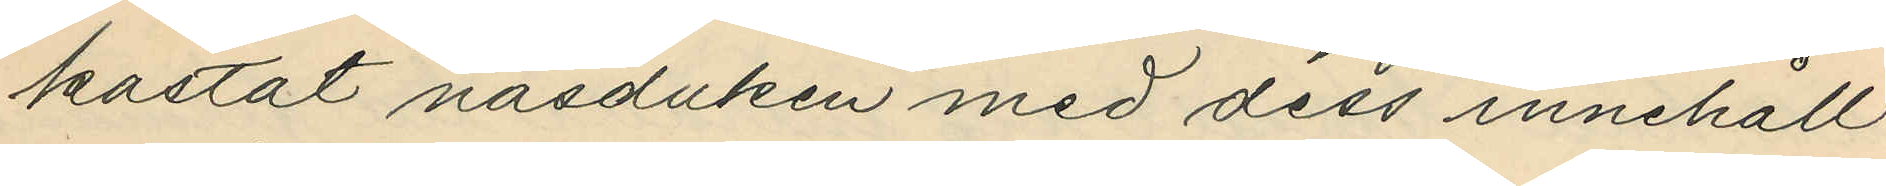kastat näsduken med dess innehåll
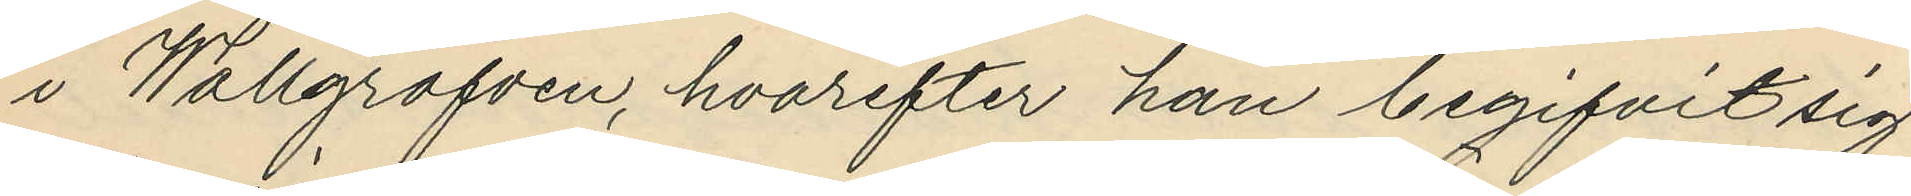i Wallgrafven, hvarefter han begifvit sig
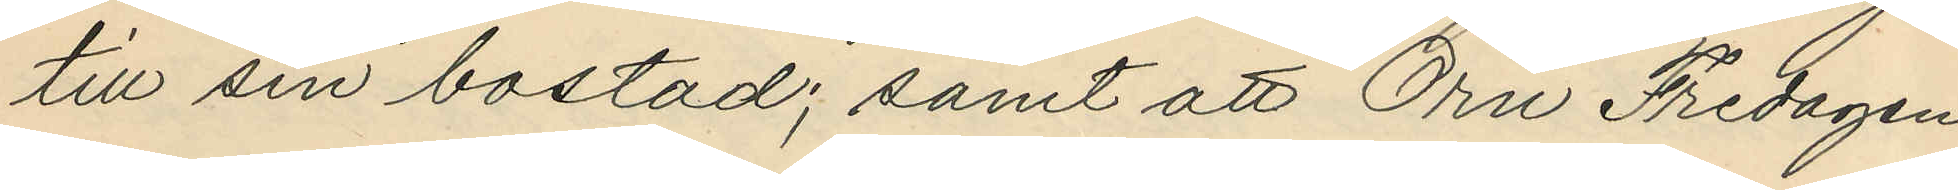till sin bostad; samt att Örn Fredagen
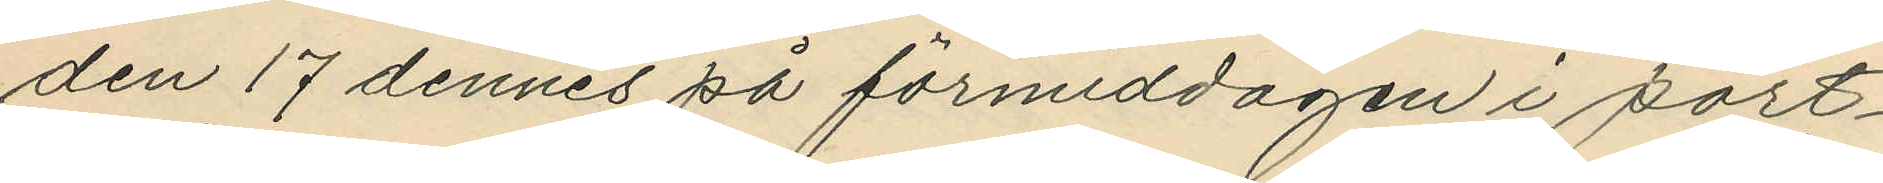den 17 dennes på förmiddagen i port¬
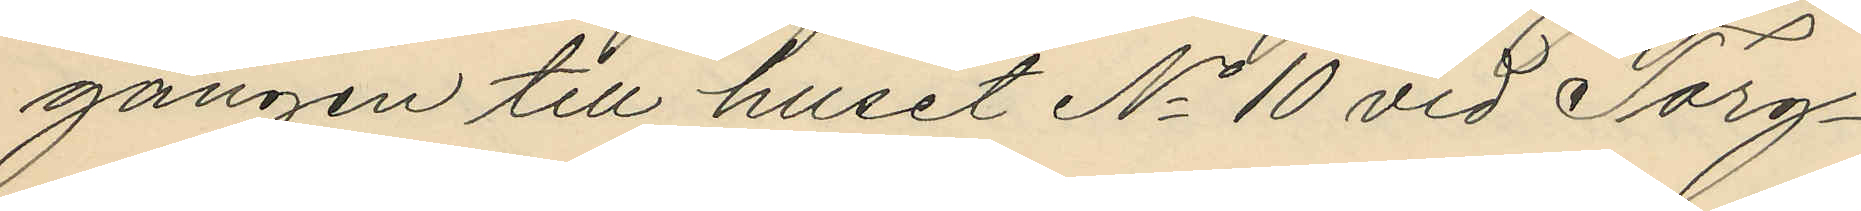gången till huset No 10 vid Torg¬
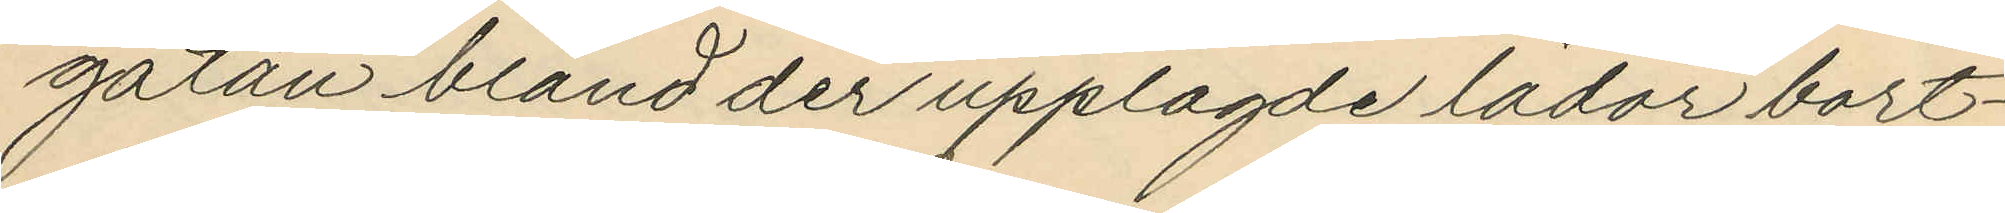gatan bland der upplagde lådor bort¬
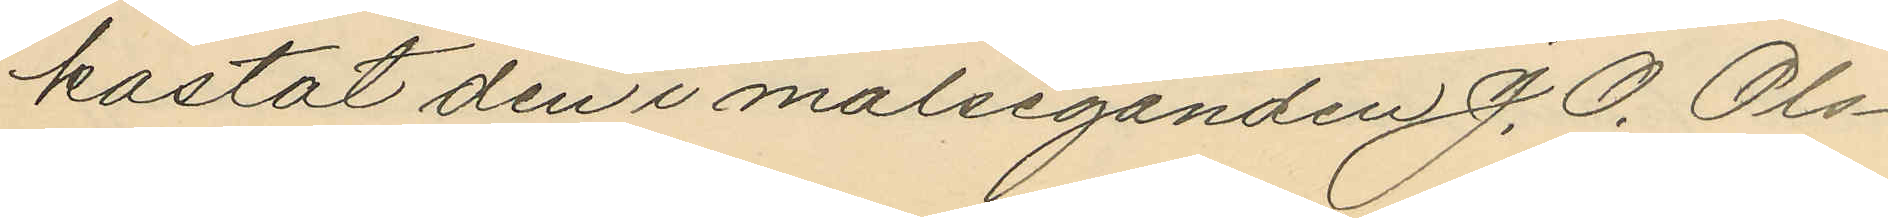kastat den i målseganden J. O. Ols¬
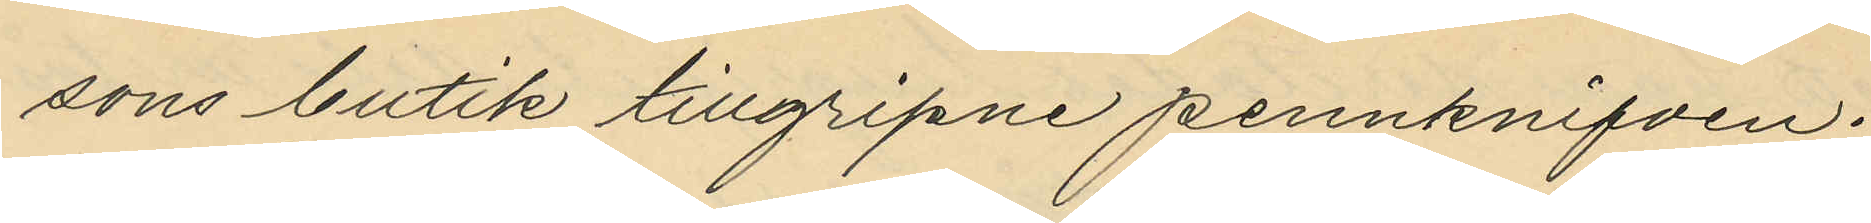sons butik tillgripne pennknifven.
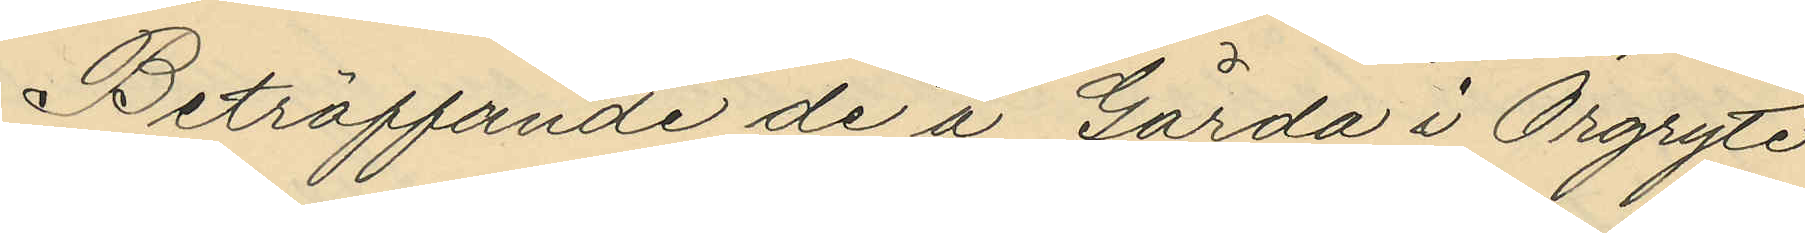Beträffande de å Gårda i Örgryte
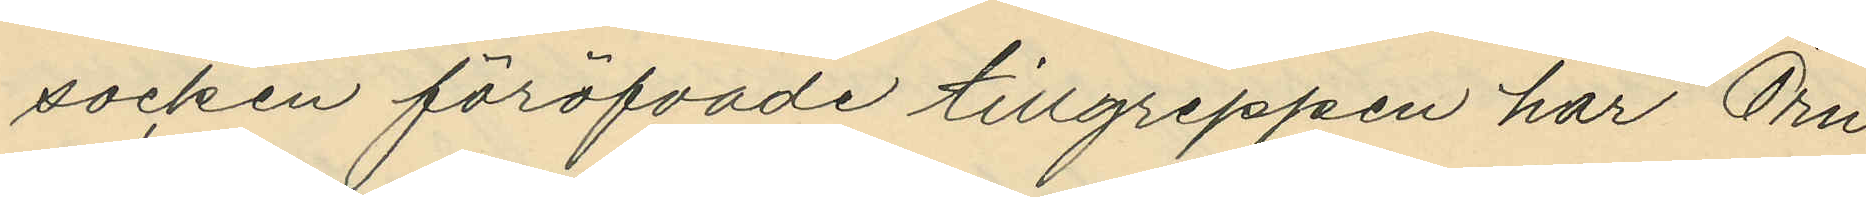socken föröfvade tillgreppen har Örn
